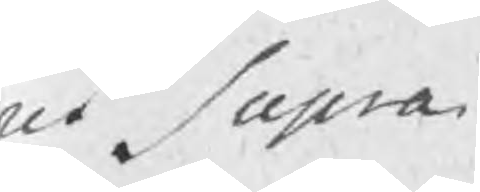oci Supra
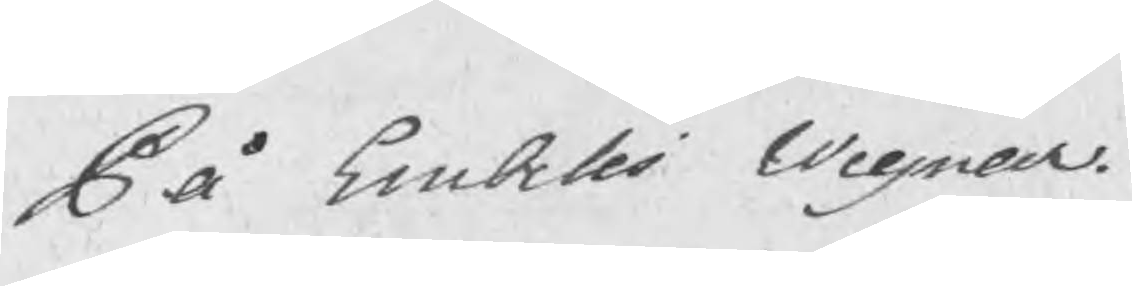På Embetes wegnar
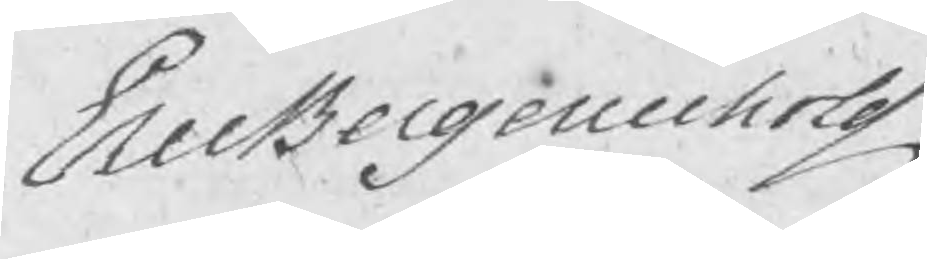EricBergenholtz
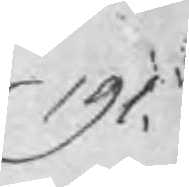191.
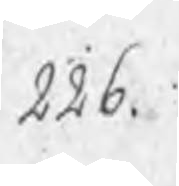226.
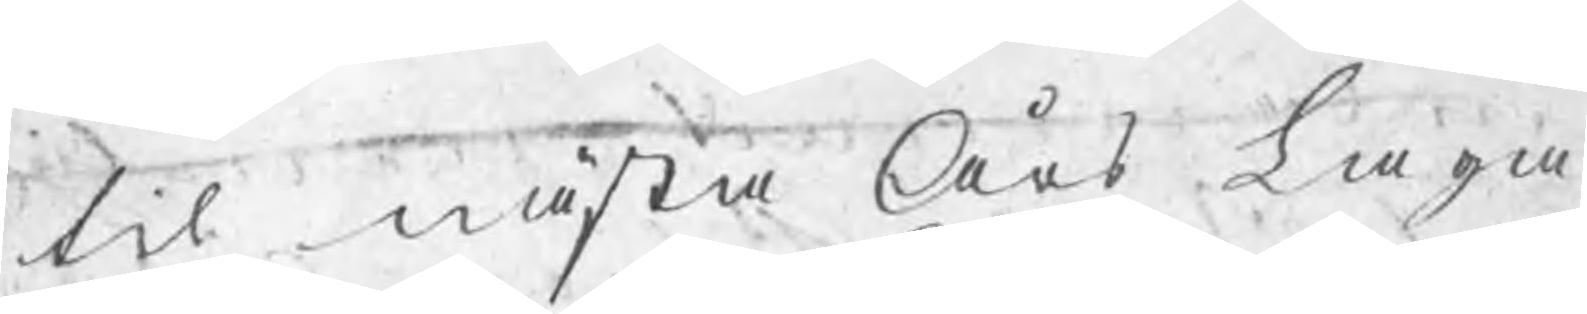til nästa Års Laga
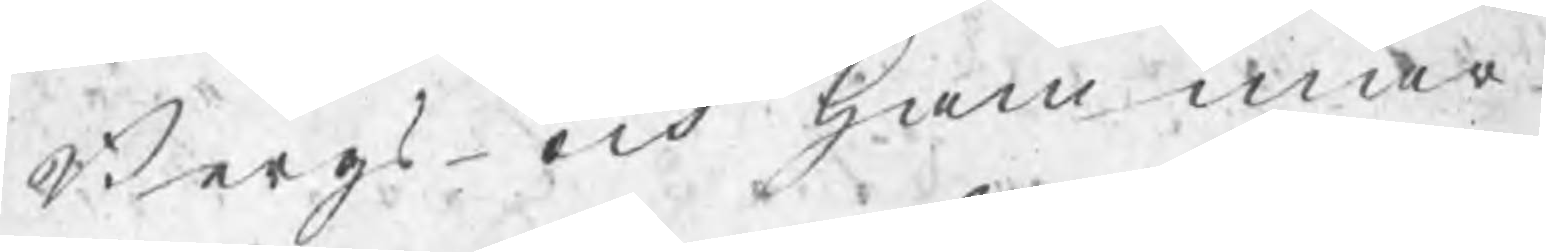Bergs- och Hammar¬
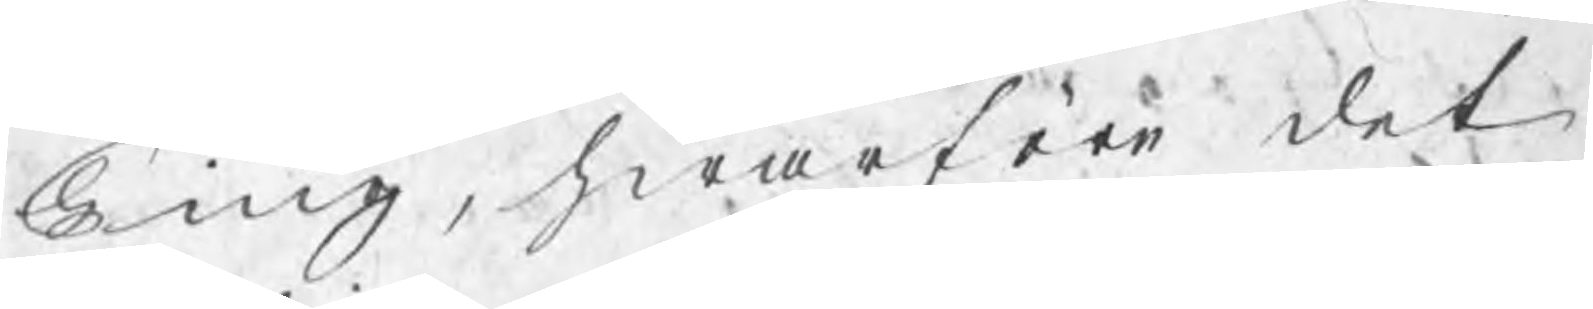Ting, hwarföre det
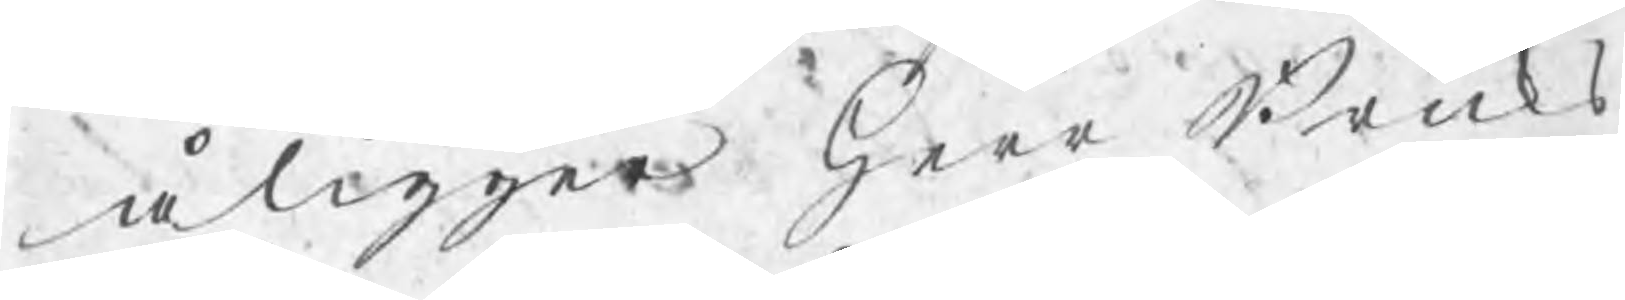åligger Herr Bruks¬
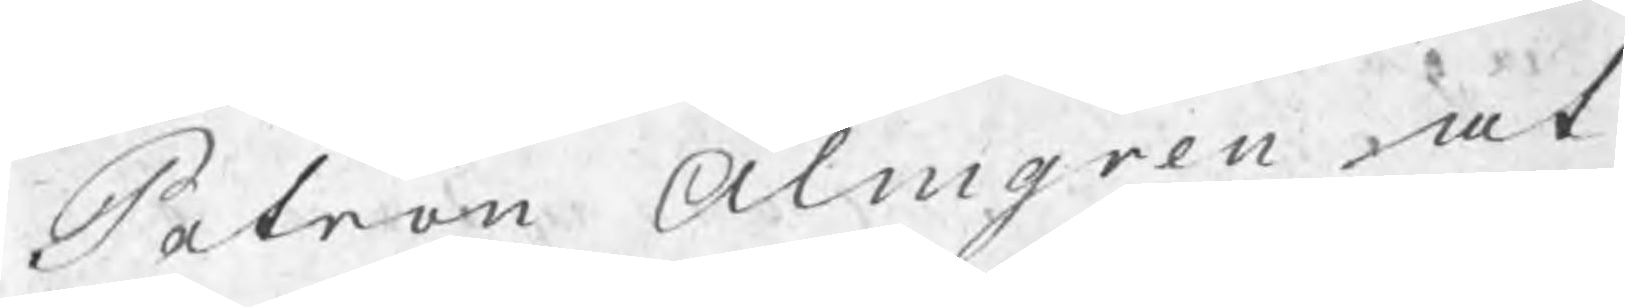Patron Almgren at
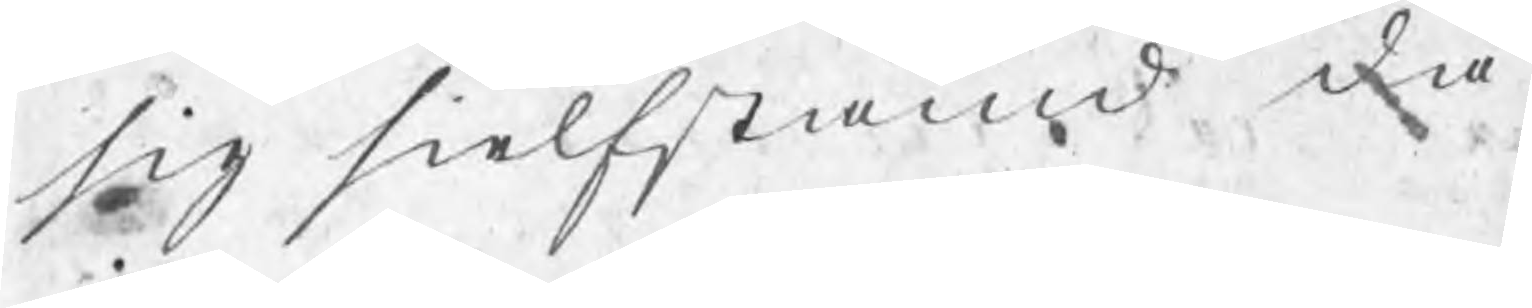sig sielfstämd då
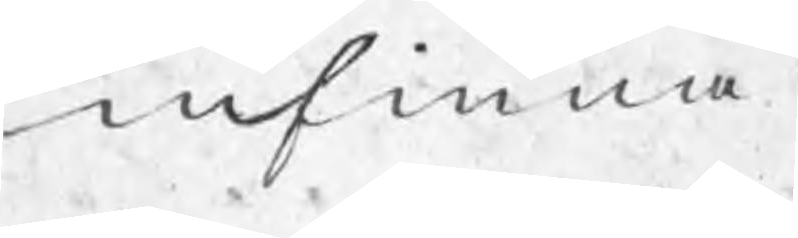infinna.
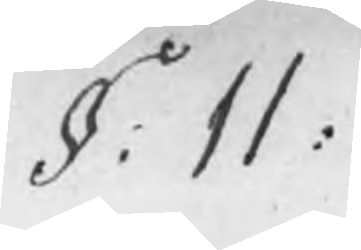§: 11:
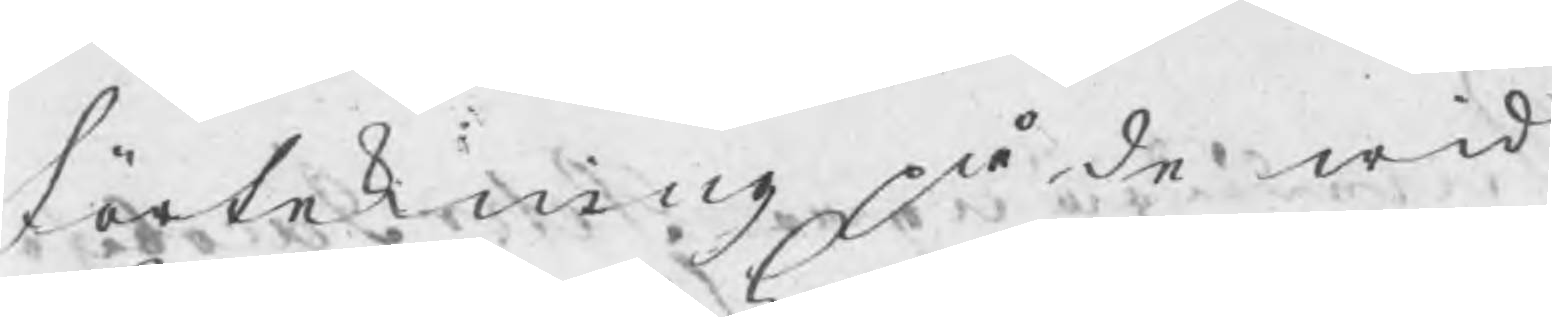Förtekning på de wid
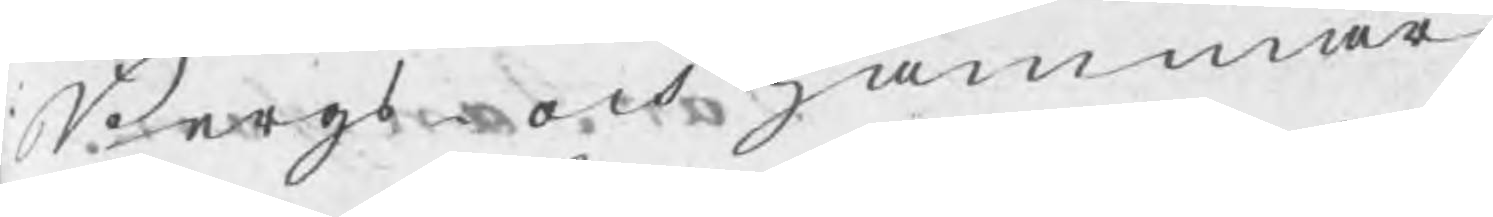Bergs- och Hammar¬
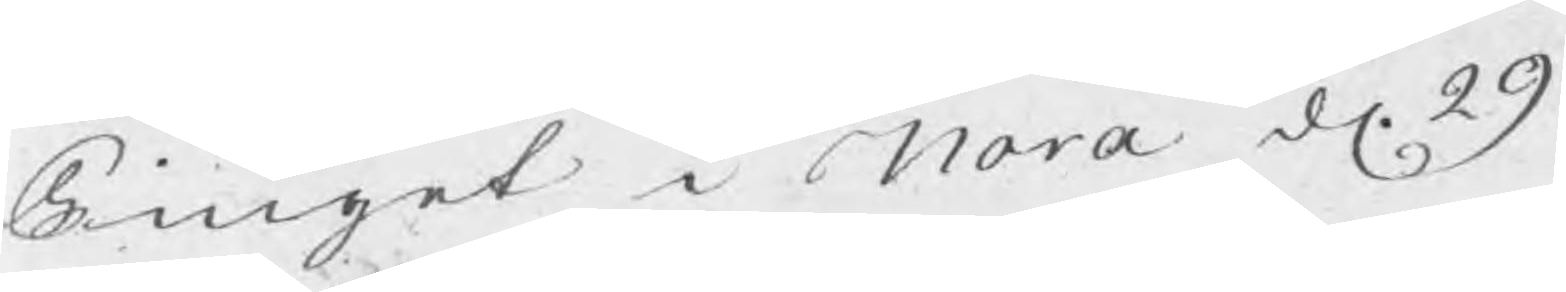Tinget i Nora d. 29
